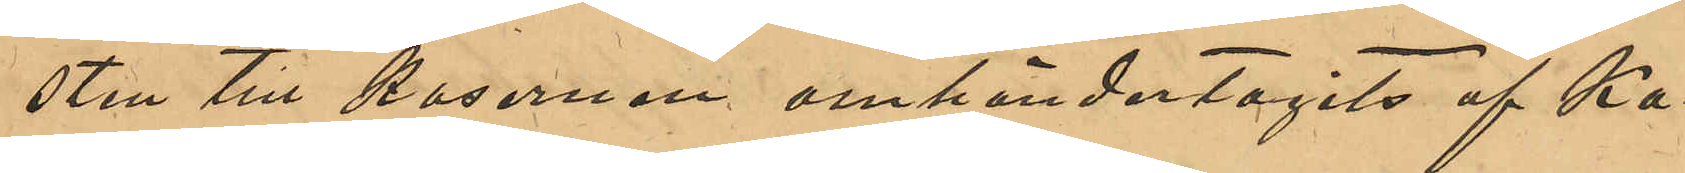sten till kasernen omhändertagits af Ka¬
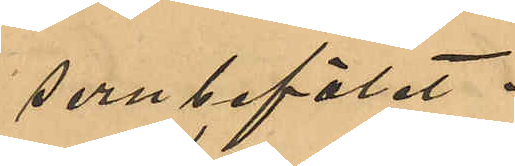sernbefälet.
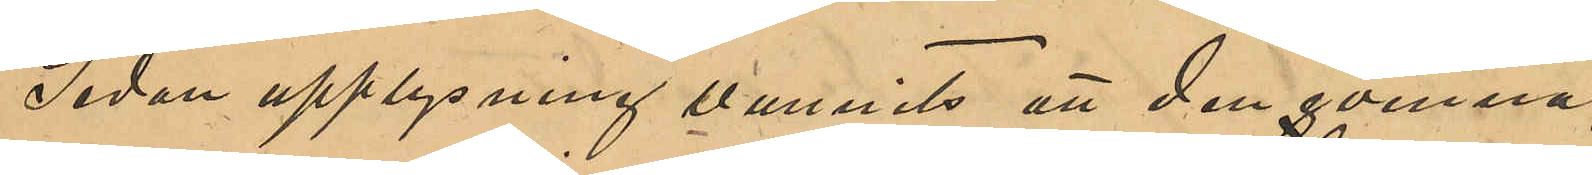Sedan upplysning vunnits att den qvinna
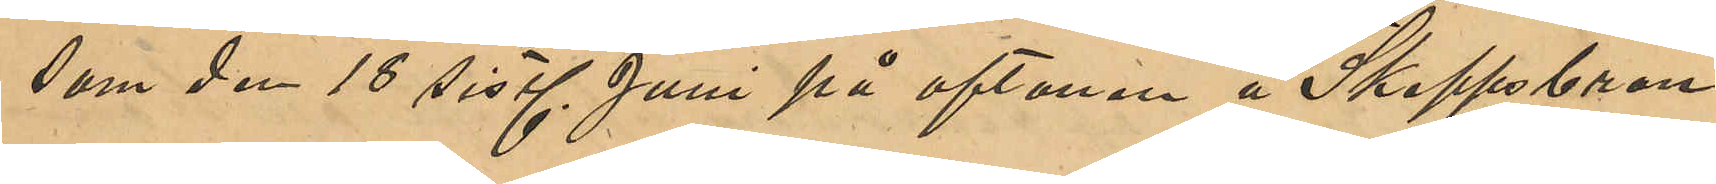som den 18 sistl Juni på aftonen å Skeppsbron
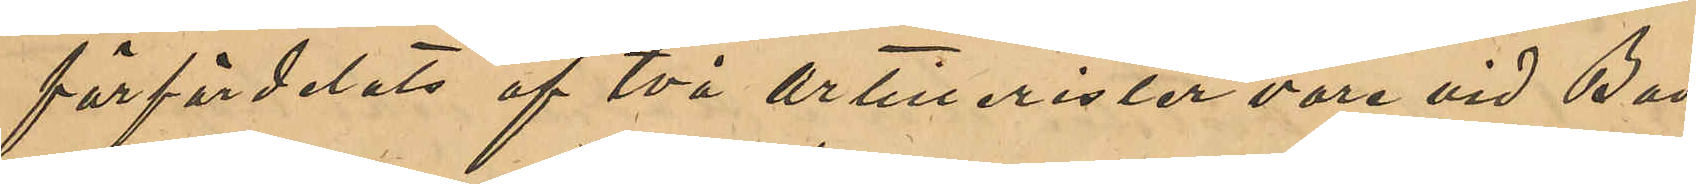förfördelats af två artillerister vore vid Bad¬
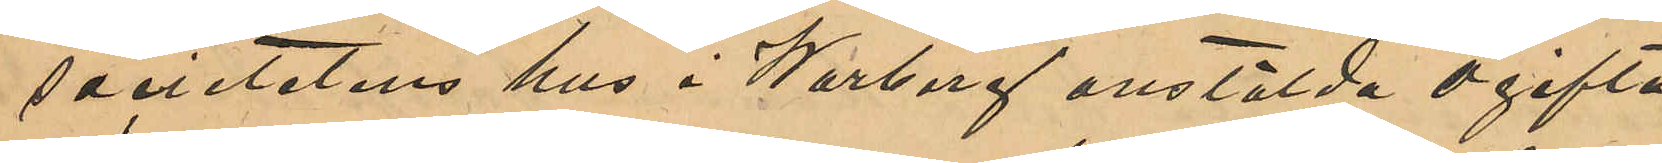societetens hus i Warberg anstälda ogifta
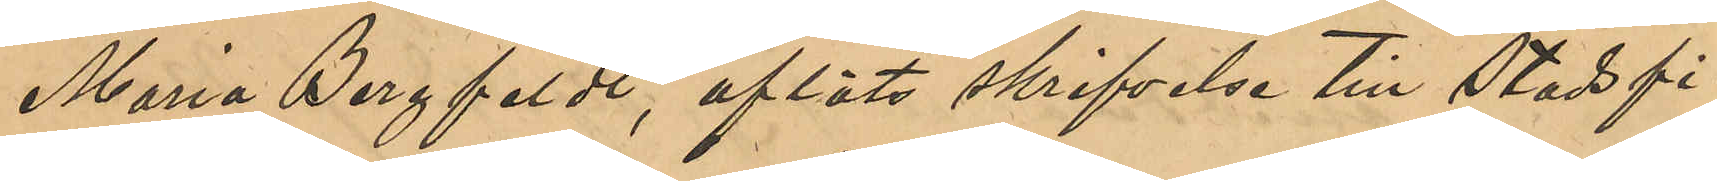Maria Bergfeldt, afläts skrifvelser till Stadsfi¬
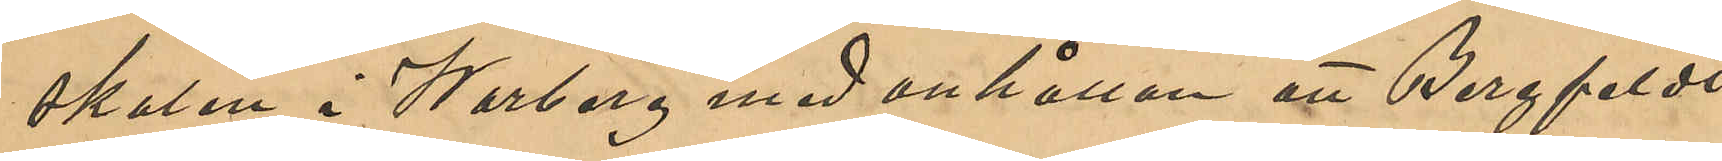skalen i Warberg med anhållan att Bergfeldt
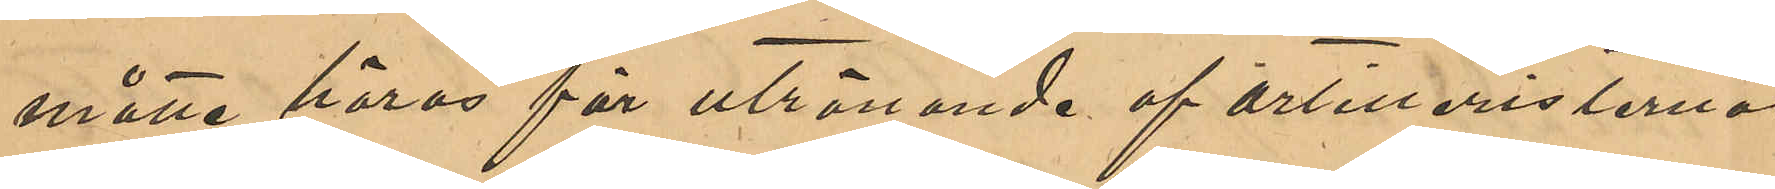måtte höras för utrönande af artilleristerna
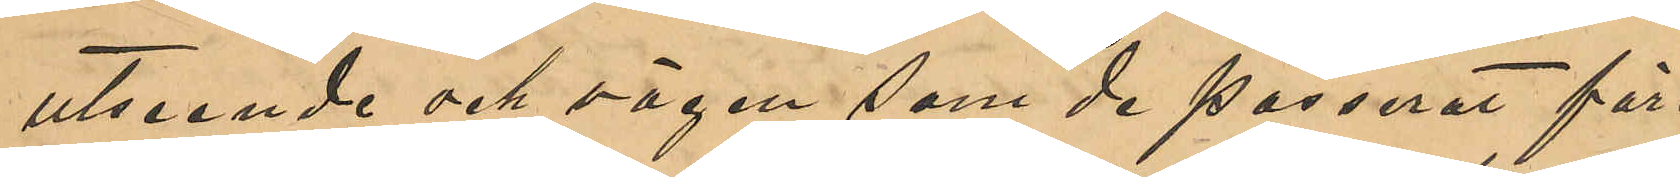utseende och vägen som de passerat före
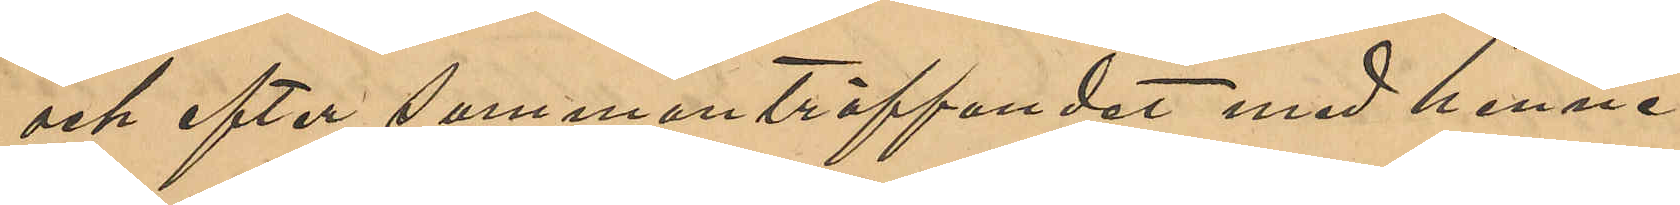och efter sammanträffandet med henne.
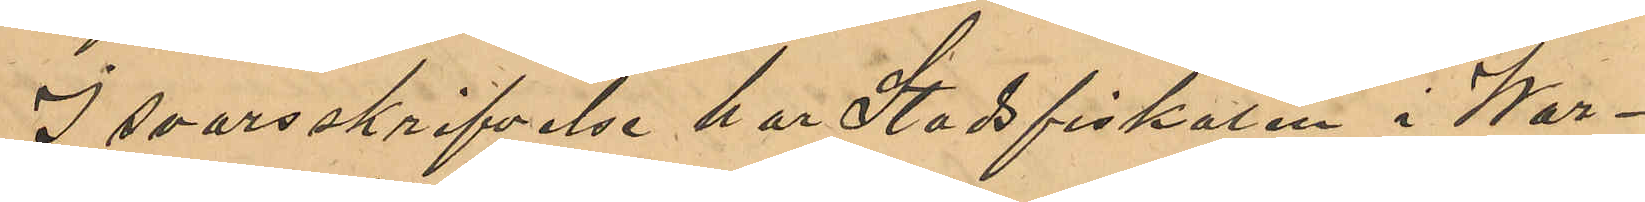I svarsskrifvelsen har Stadsfiskalen i War¬
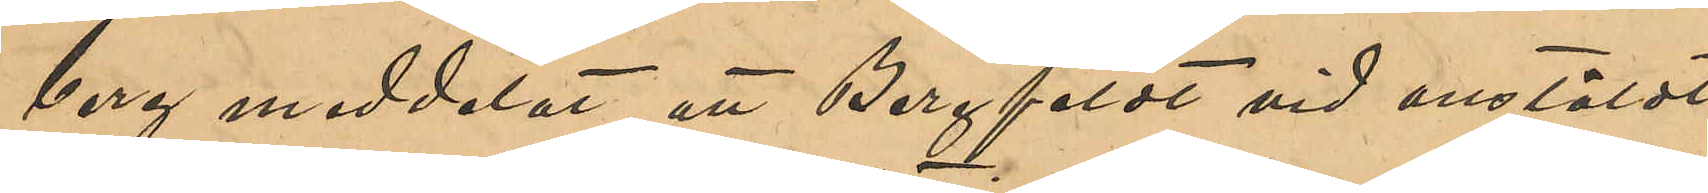berg meddelat, att Bergfeldt vid anstäldt
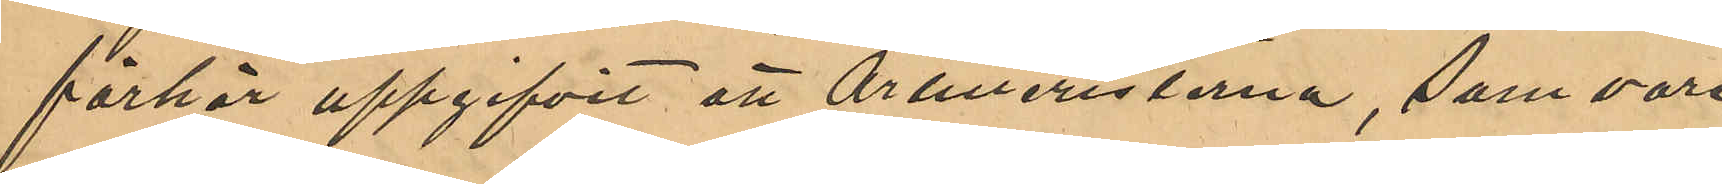förhör uppgifvit att Artilleristerna, som vore
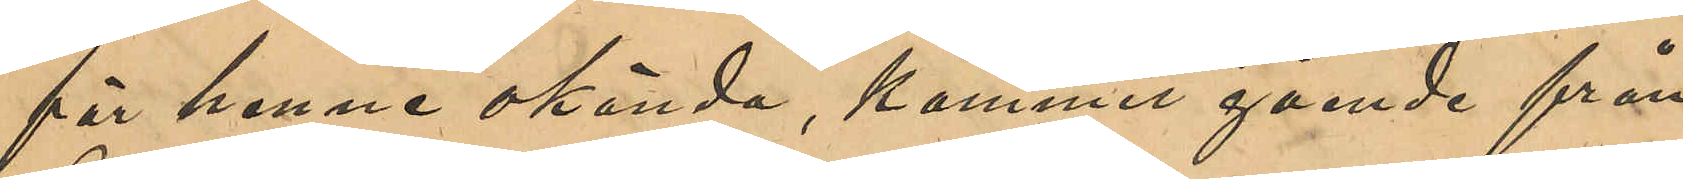för henne okända, kommit gående från
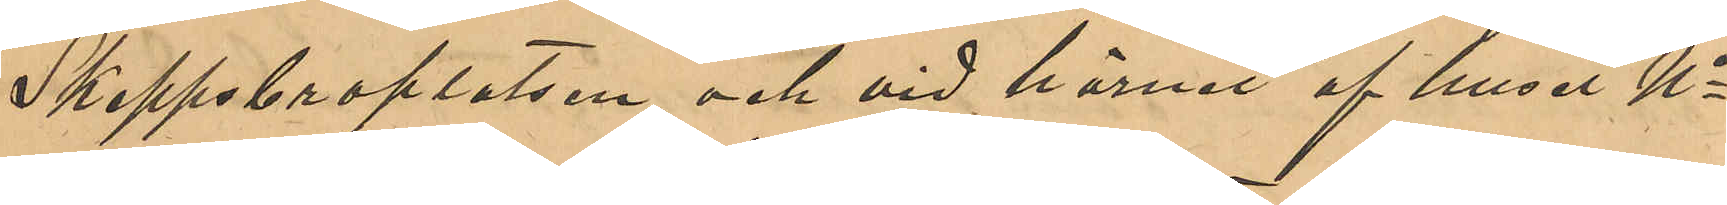Skeppsbroplatsen och vid hörnet af huset No 1
